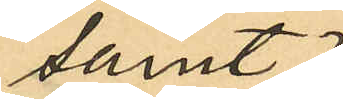samt
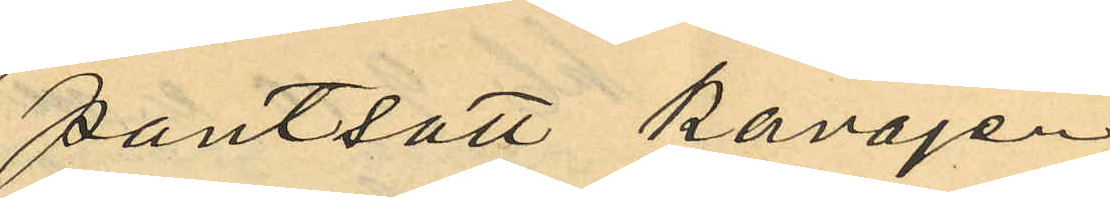pantsatt kavajen,
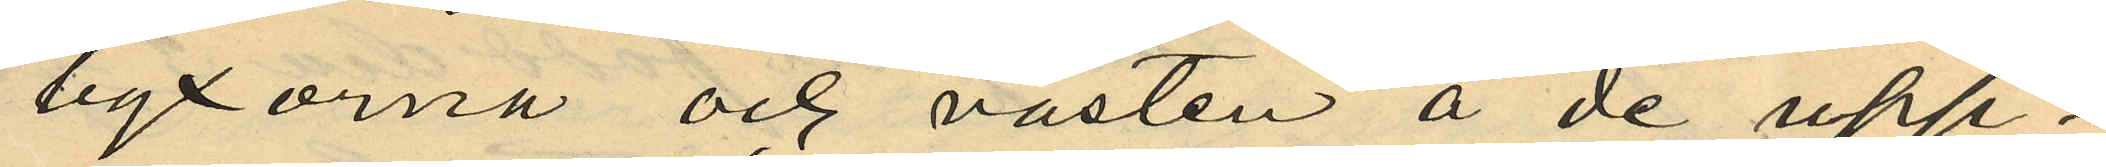byxorna och västen å de upp¬
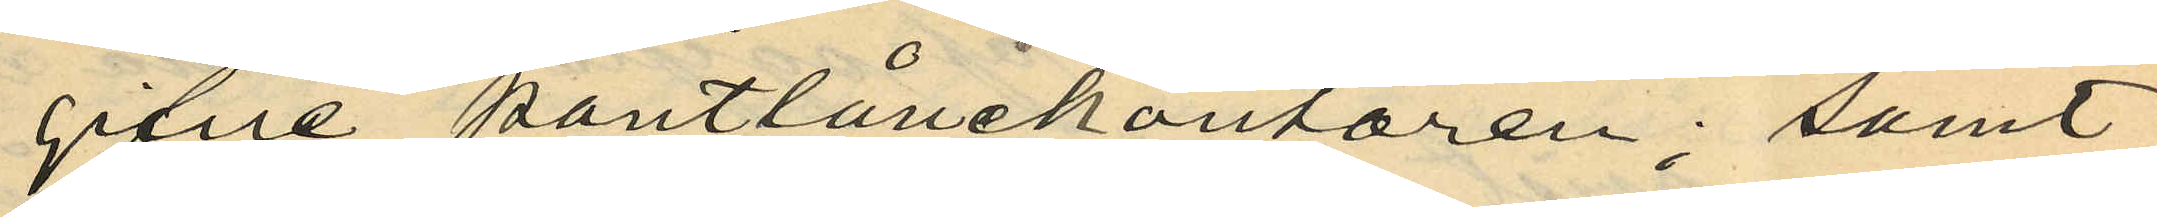gifne pantlånekontoren; samt
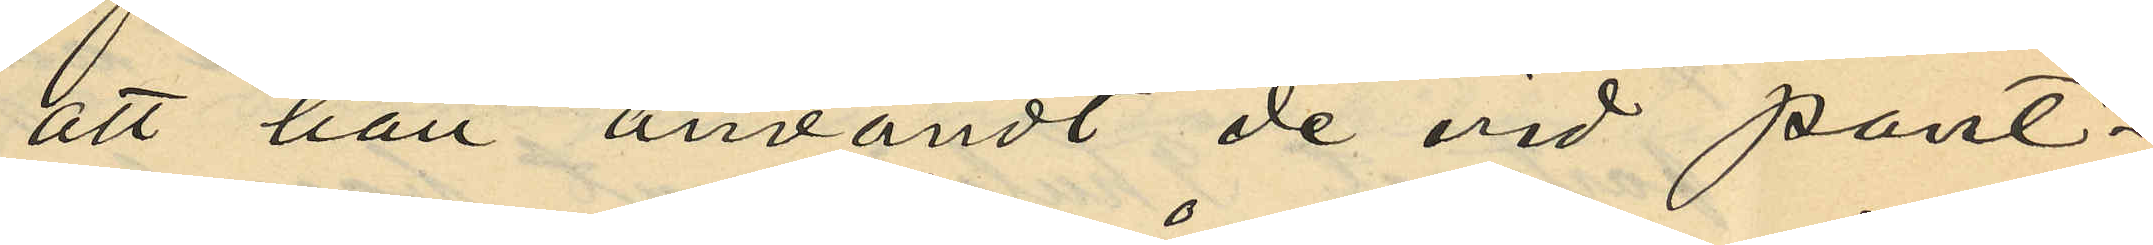att han användt de vid pant¬
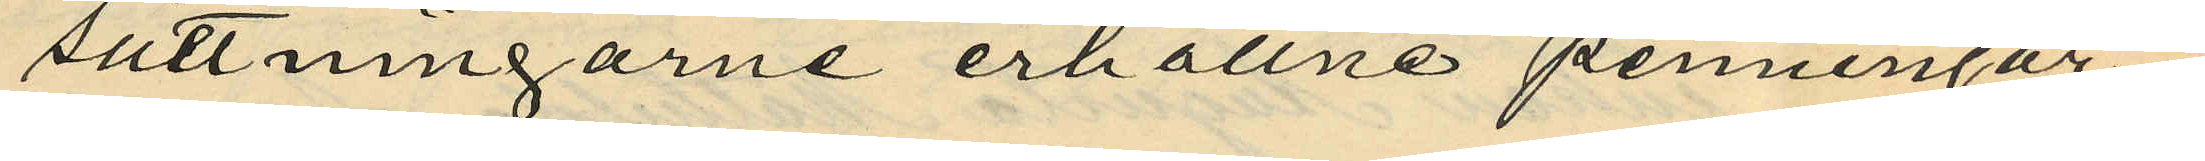sättningarne erhållne penningar¬
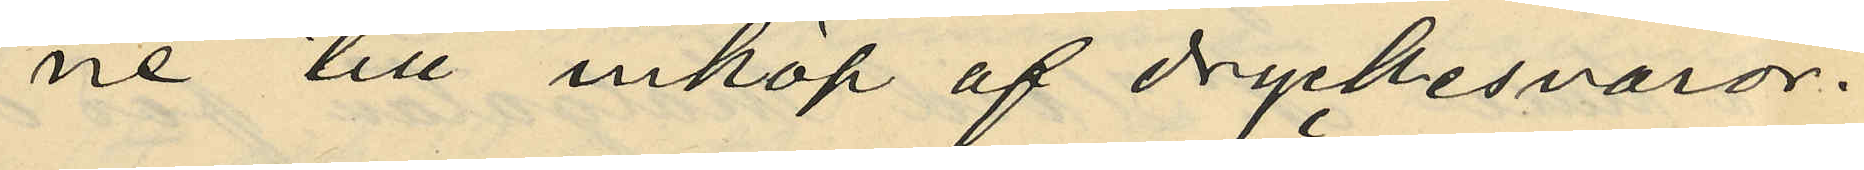ne till inköp af dryckesvaror.
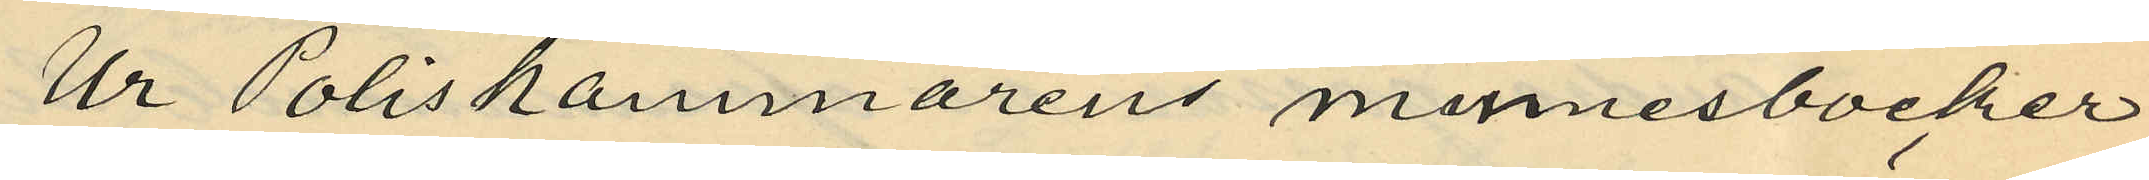Ur Poliskammarens minnesböcker
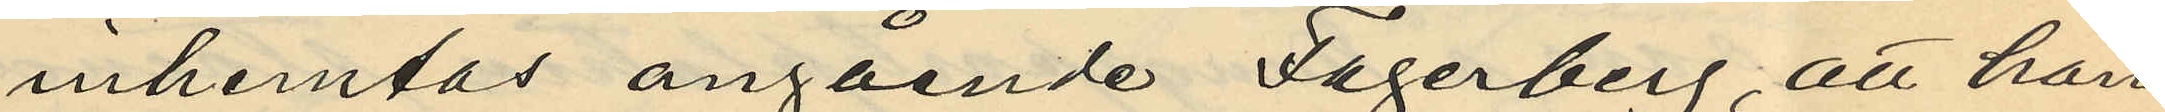inhemtas angående Fagerberg, att han
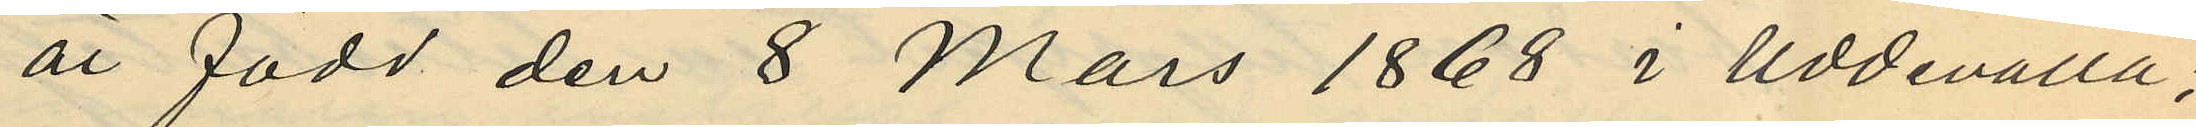är född den 8 Mars 1868 i Uddevalla;
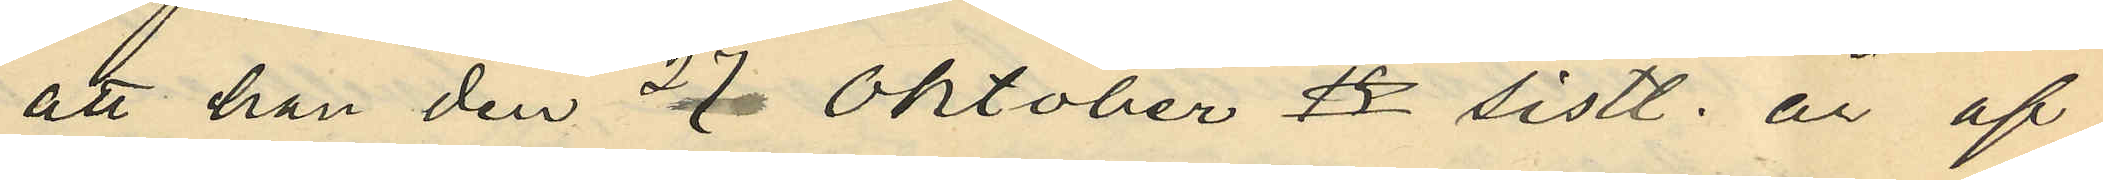att han den 27 Oktober 42 sistl. år af
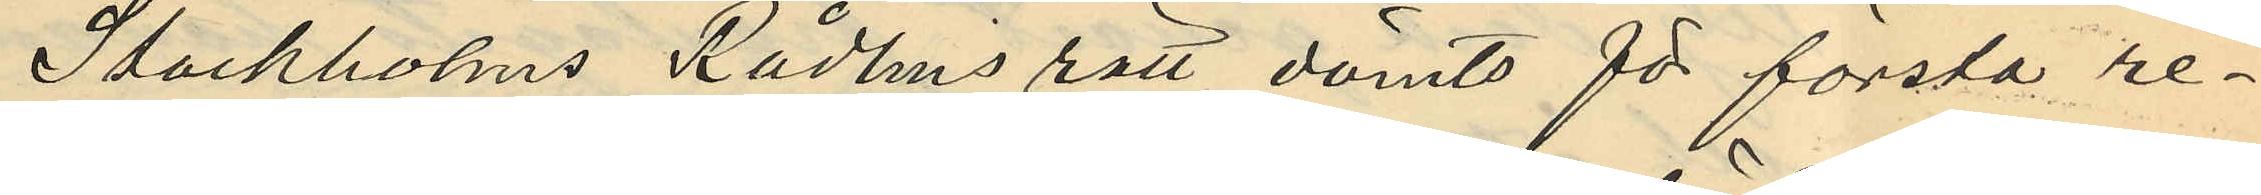Stockholms Rådhusrätt dömts för första re¬
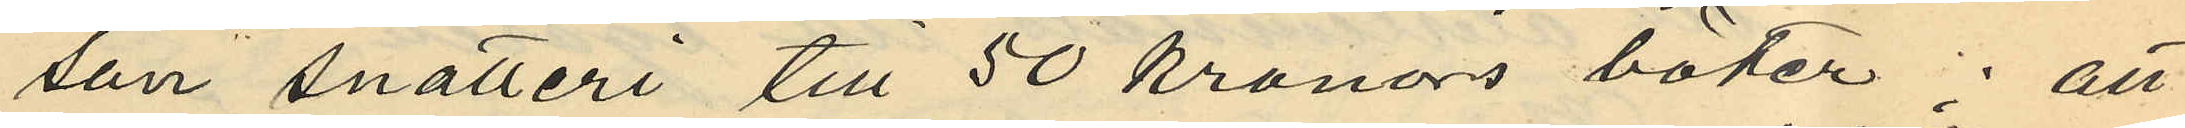san snatteri till 50 kronors böter; att
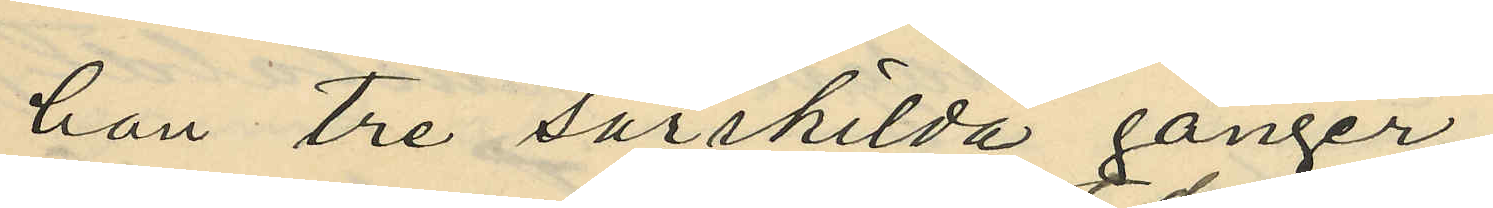han tre särskilda gånger
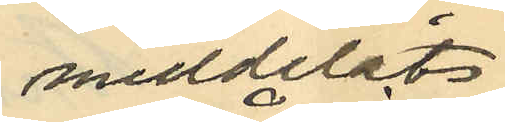meddelats
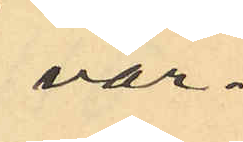var¬
